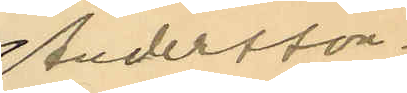Andersson-
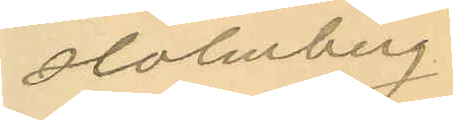Holmberg
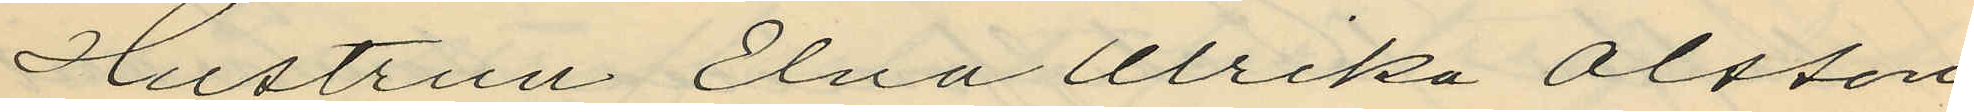Hustrun Elna Ulrika Olsson,
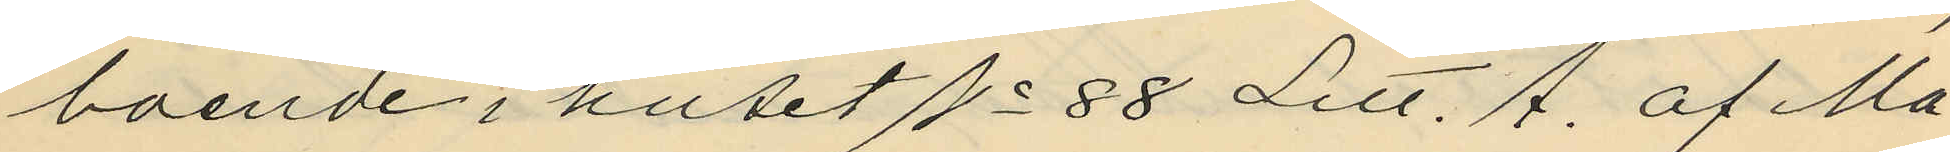boende i huset No 88 Litt. A. af Ma¬
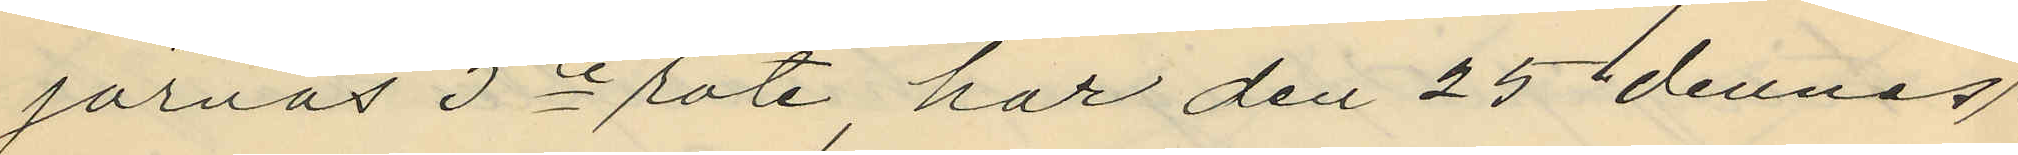jornas 5te rote, har den 25 dennes
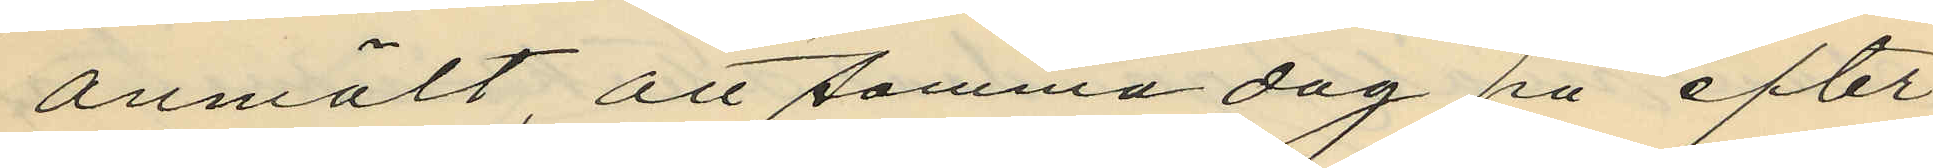anmält, att samma dag på efter¬
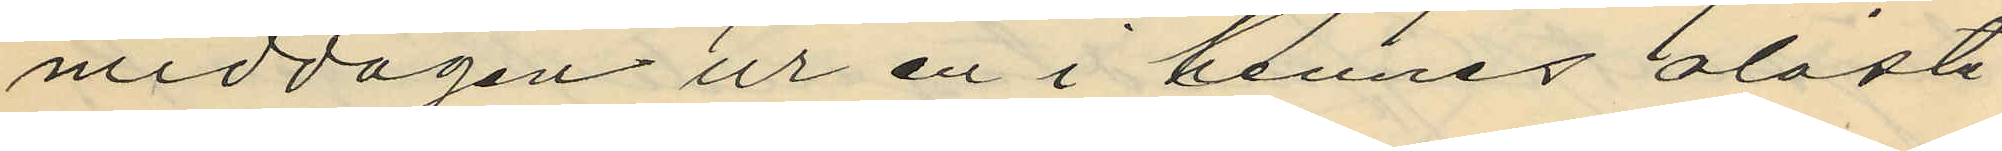middagen ur en i hennes olåsta
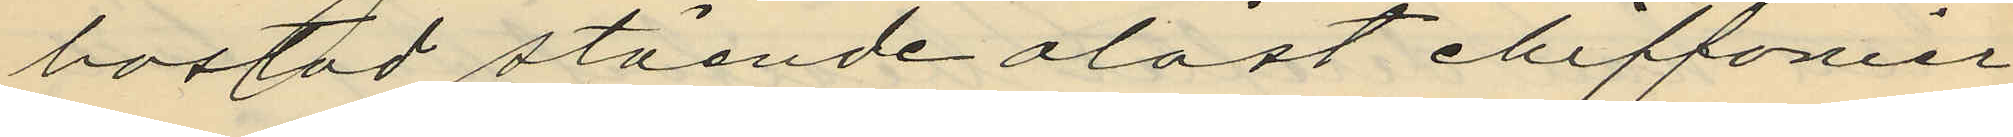bostad stående olåst chiffonier,
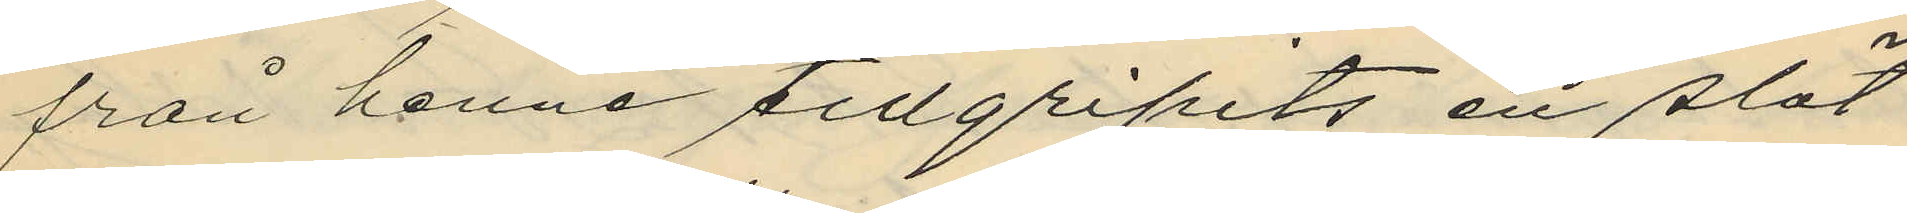från henne tillgripits en slät
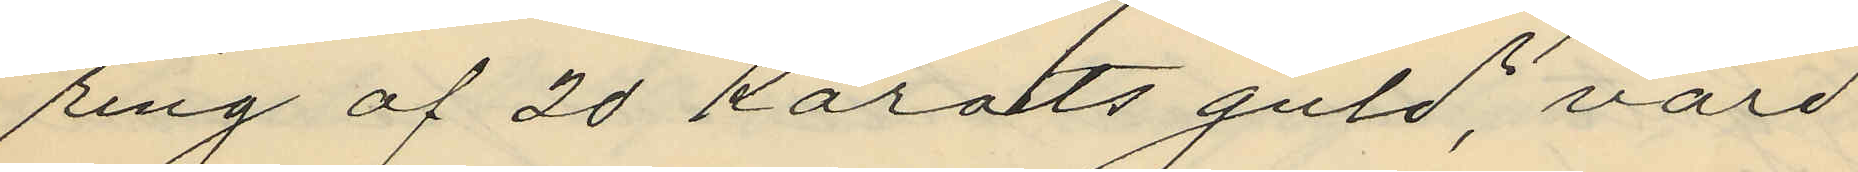ring af 20 Karats guld, värd
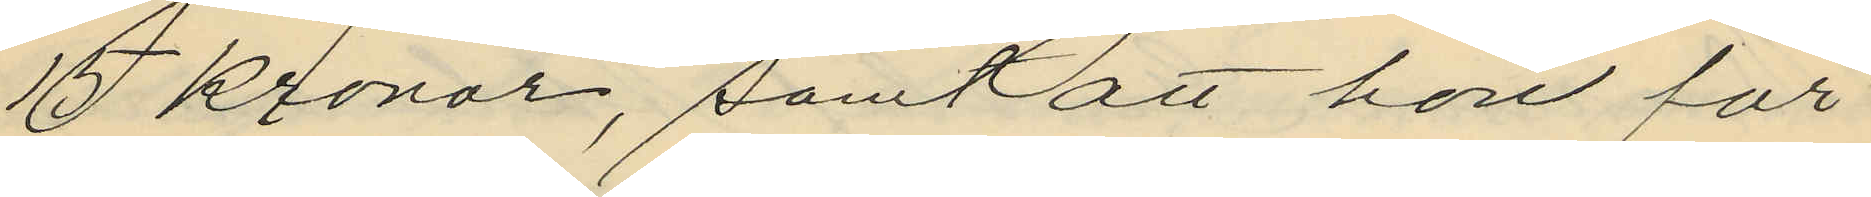15 Kronor, samt att hon för
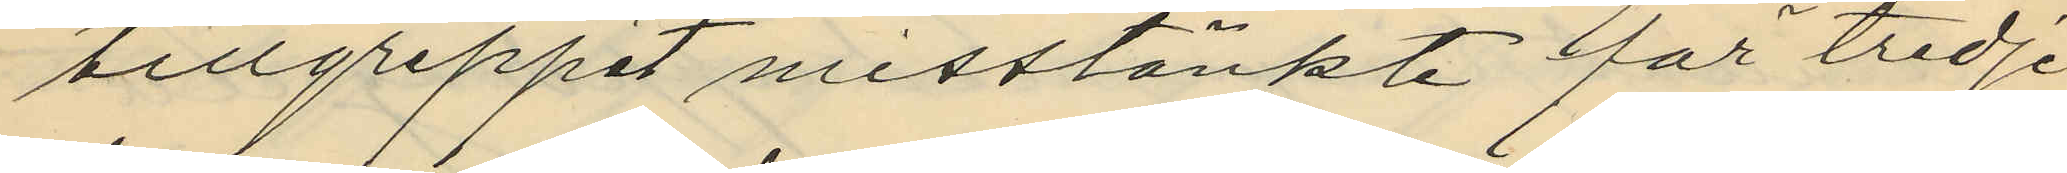tillgreppet misstänkte för tredje
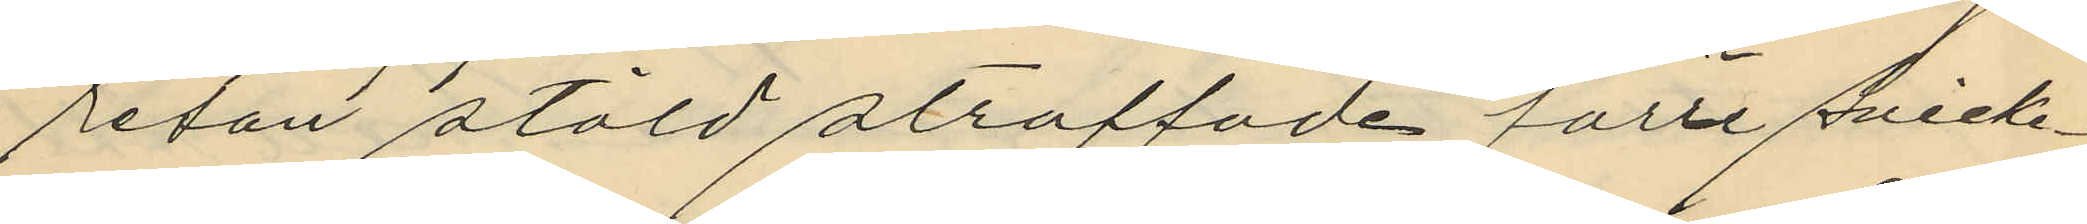resan stöld straffade förre snicke¬
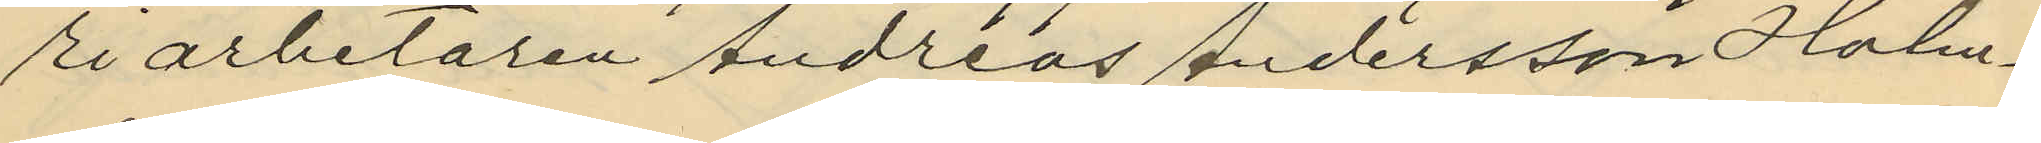riarbetaren Andreas Andersson Holm¬
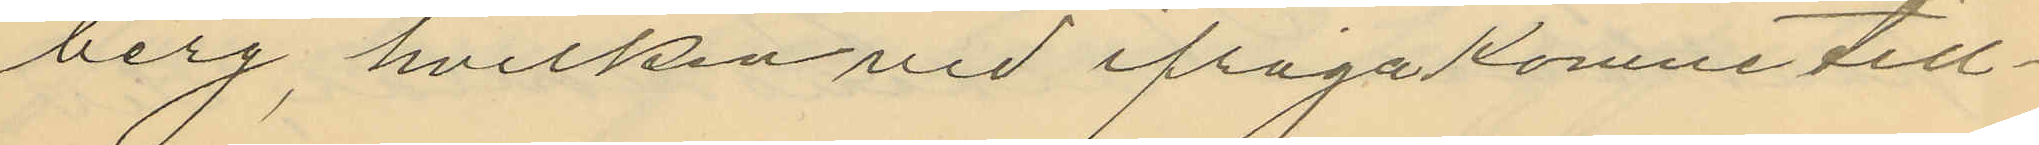berg, hvilken vid ifrågakomne till¬
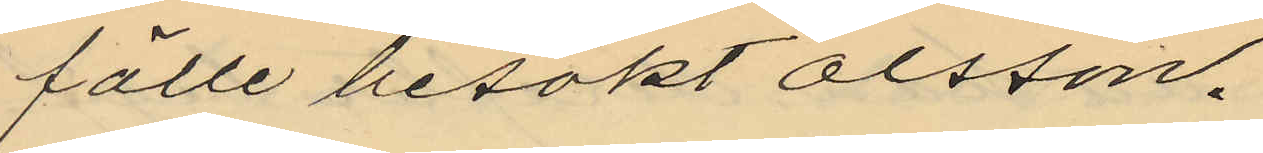fälle besökt Olsson.
